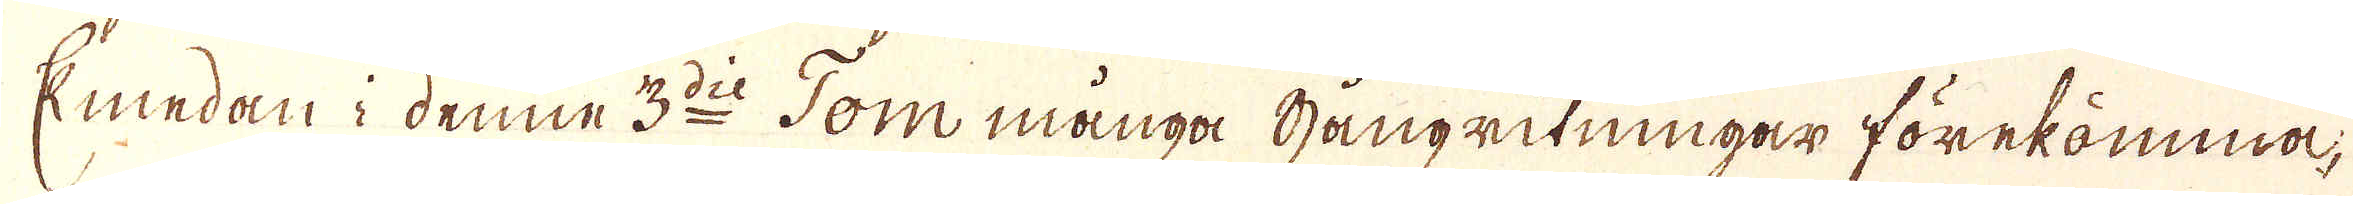Emedan i denne 3:die Tom många Gångritningar förekåmma,
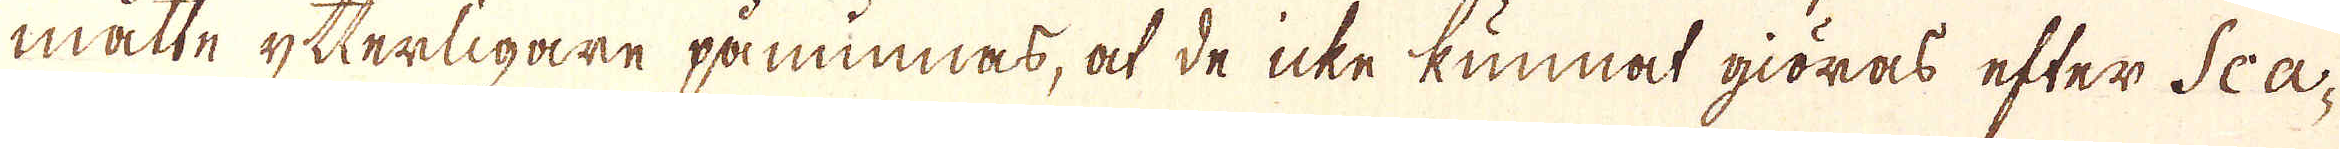måtte ytterligare påminnas, at de icke kunnat giöras efter Sca-
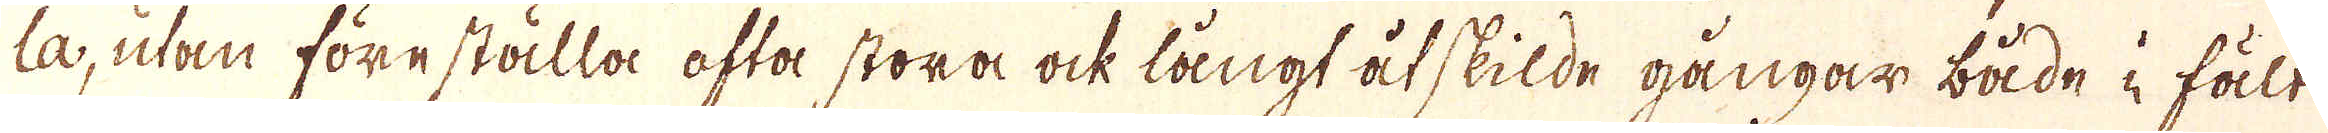la, utan före ställa ofta stora ock långt åtskilde gångar både i fält
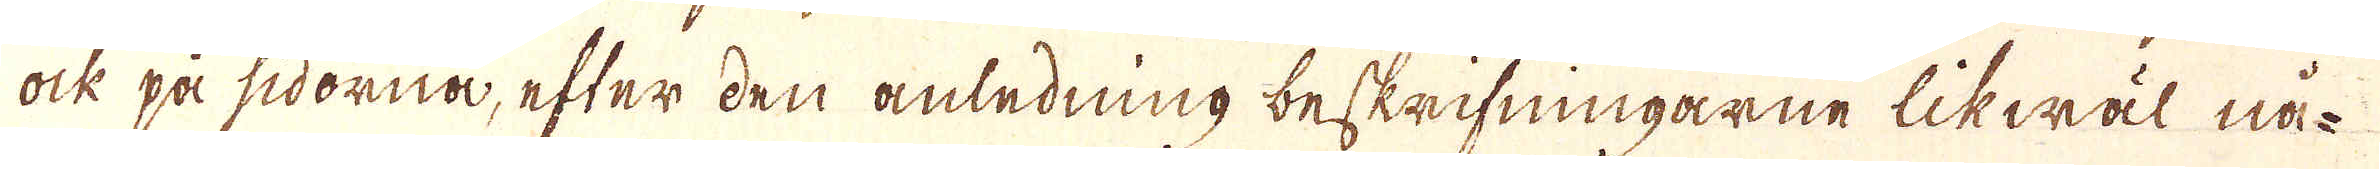ock på sidorna, efter den anledning beskrifningarne likwäl nå-
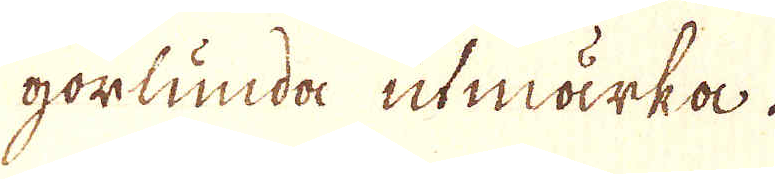gorlunda utmärka.
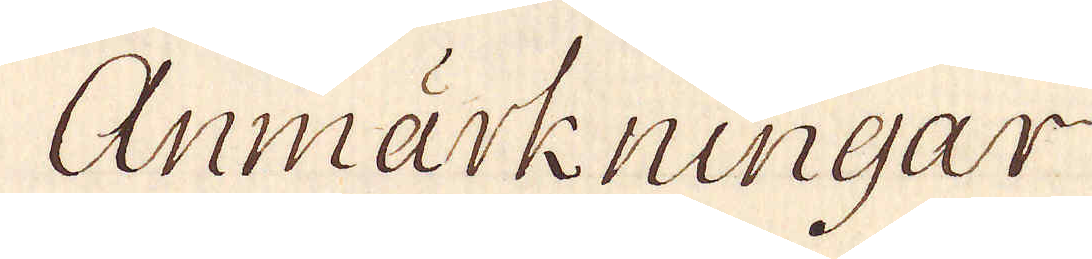Anmärkningar
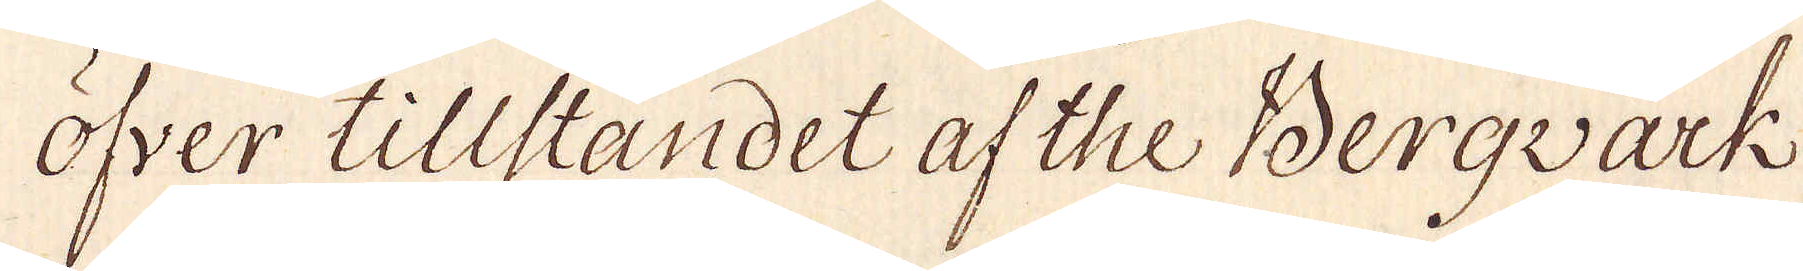öfver tillståndet af the Bergvärk
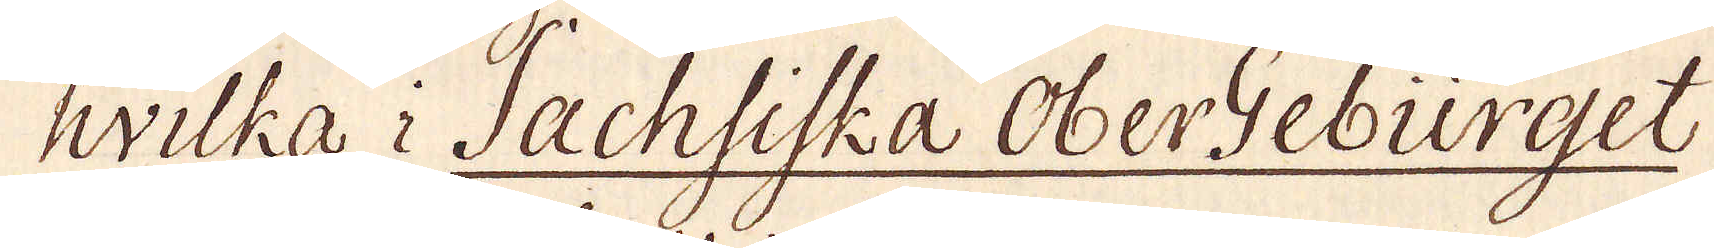hvilka i Sachsiska OberGebürget
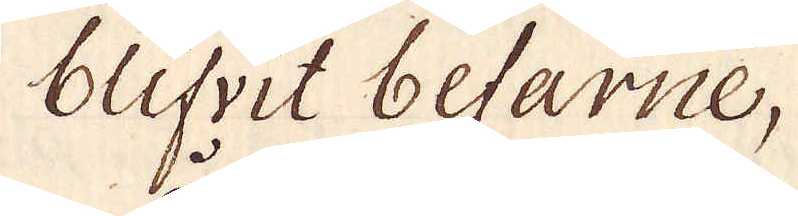blifvit befarne,
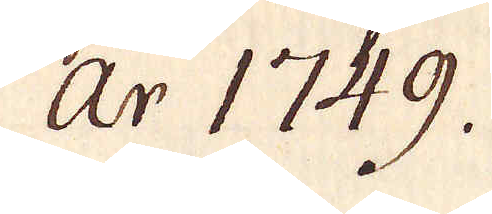år 1749.
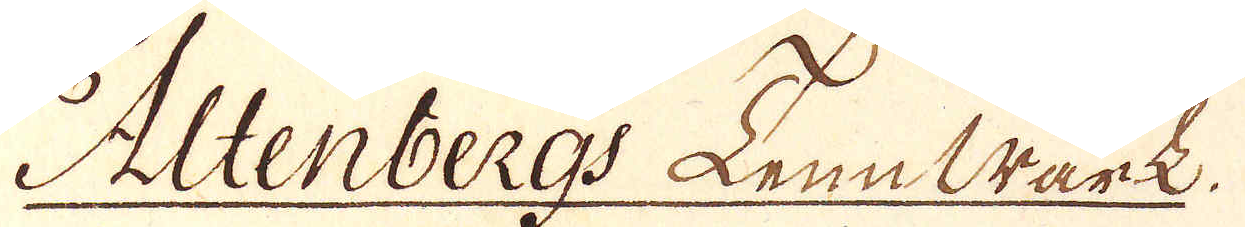Altenbergs Tennwärk.
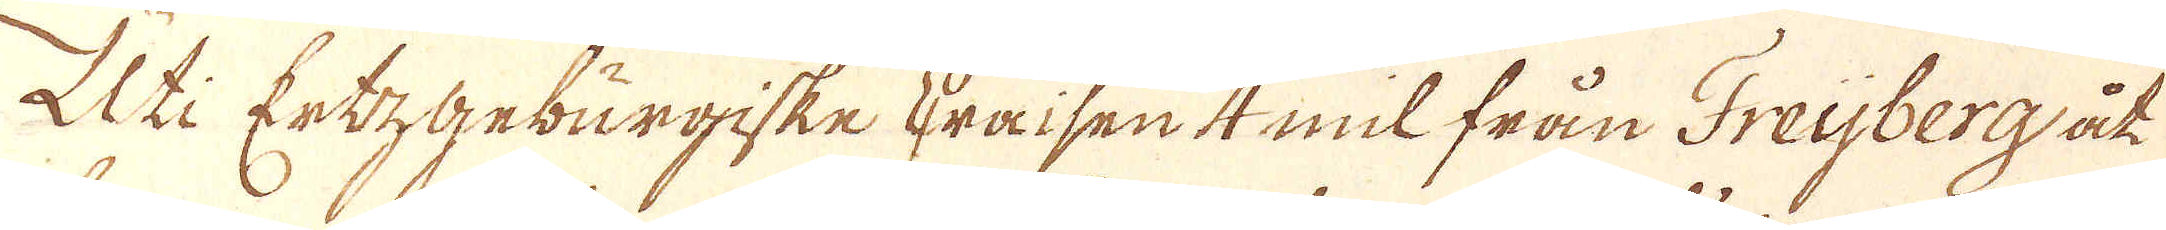Uti Ertzgeburgiske Kräisen 4 mil från Freijberg åt
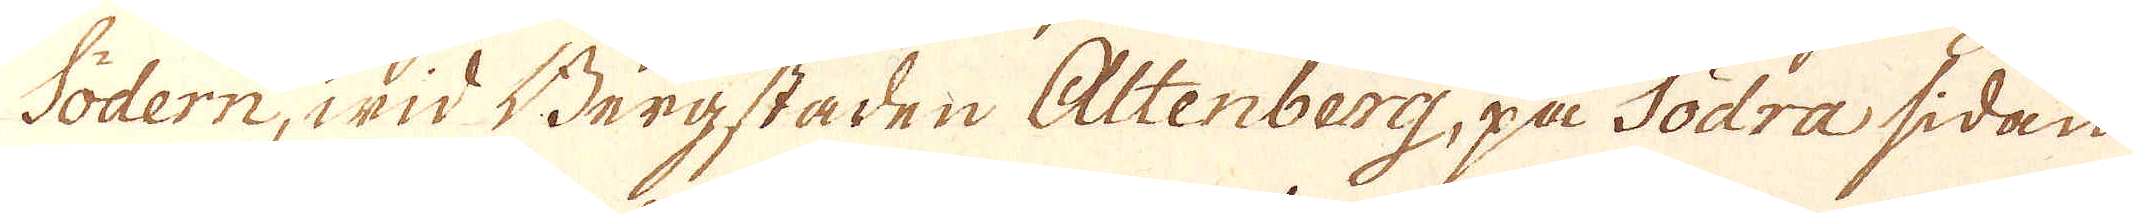Södern, wid Bergstaden Altenberg, på Södra sidan
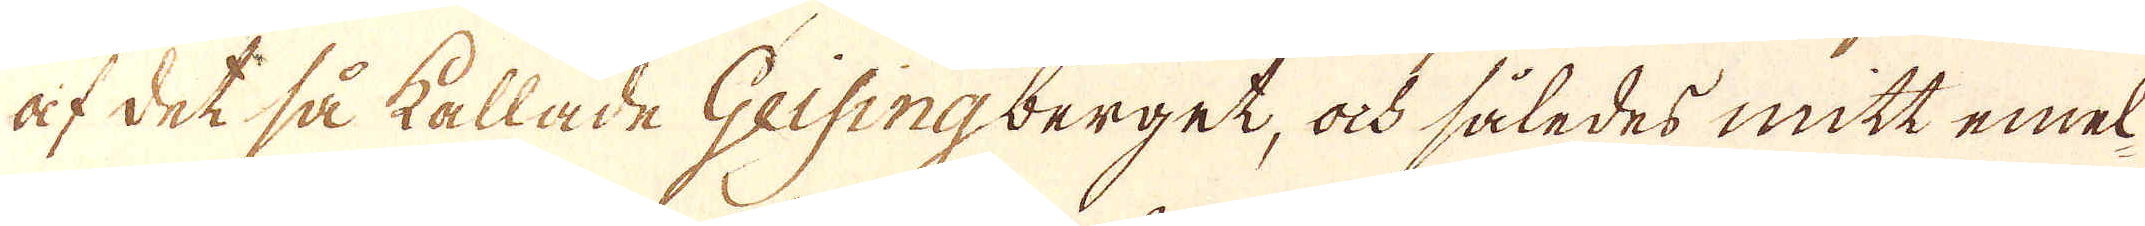af det så kallade Geisingberget, ock således mitt emel-
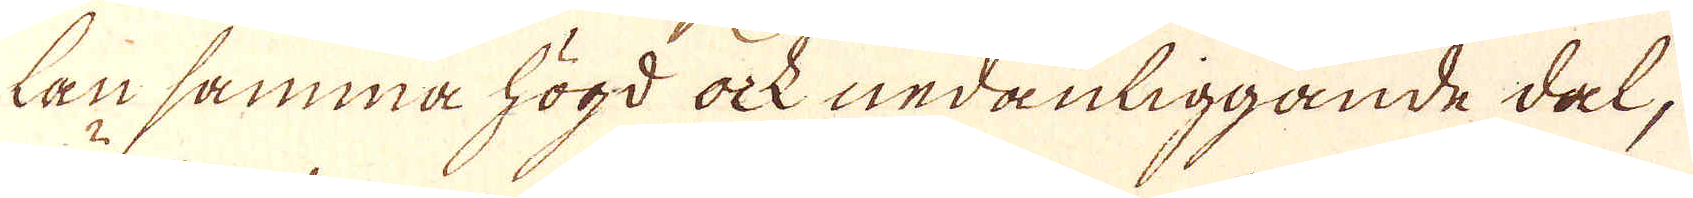lan samma högd ock nedanliggande dal,
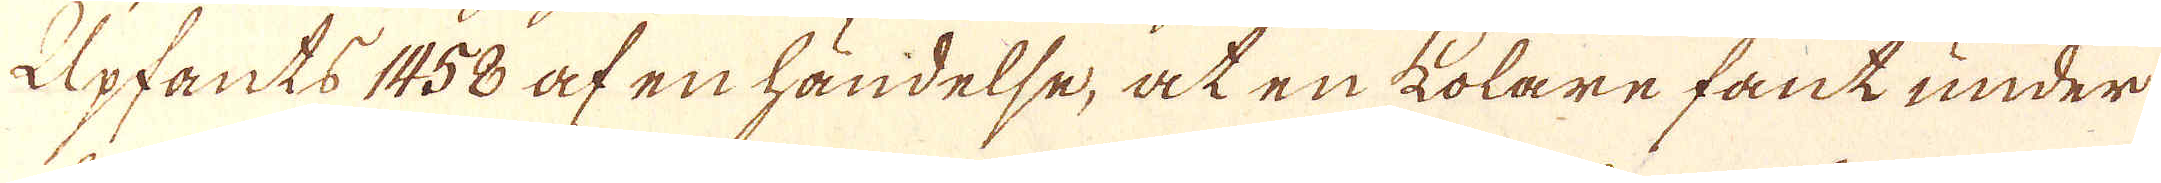Upfants 1458 af en händelse, at en kolare fant under
